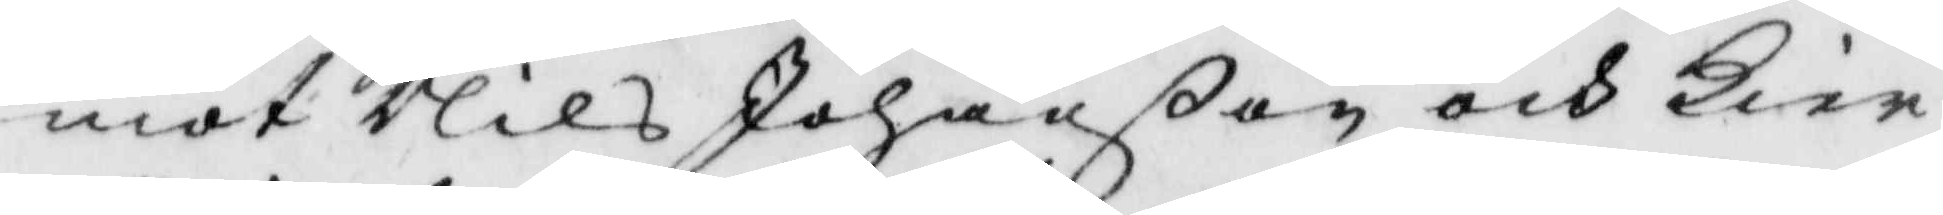mot Nils Johanßon och Kier¬
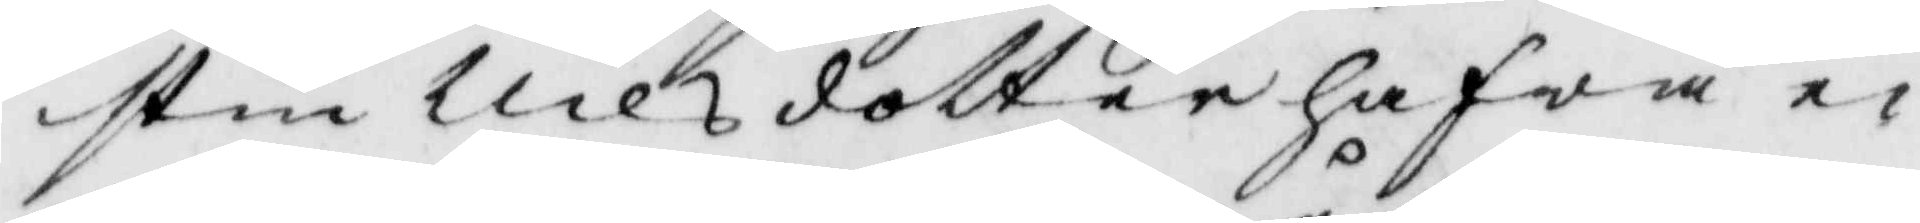stin Nilsdotter hafwa ei
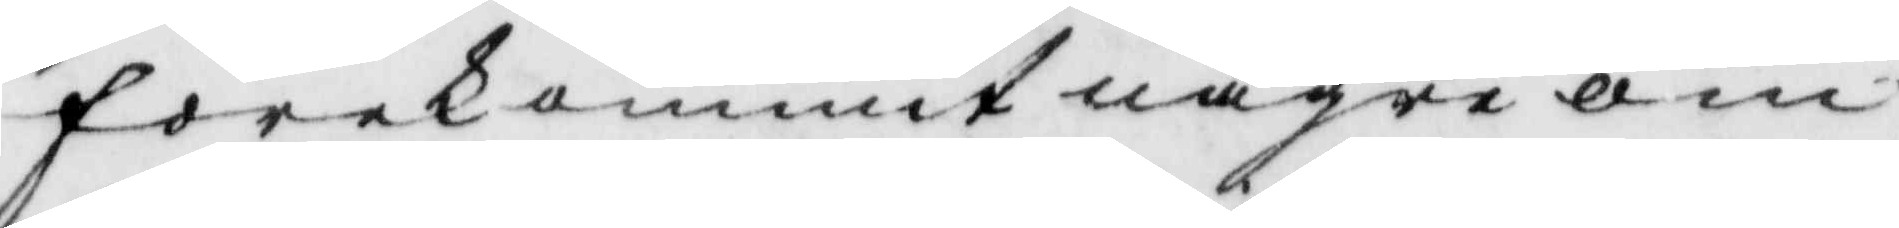förekommit några om¬
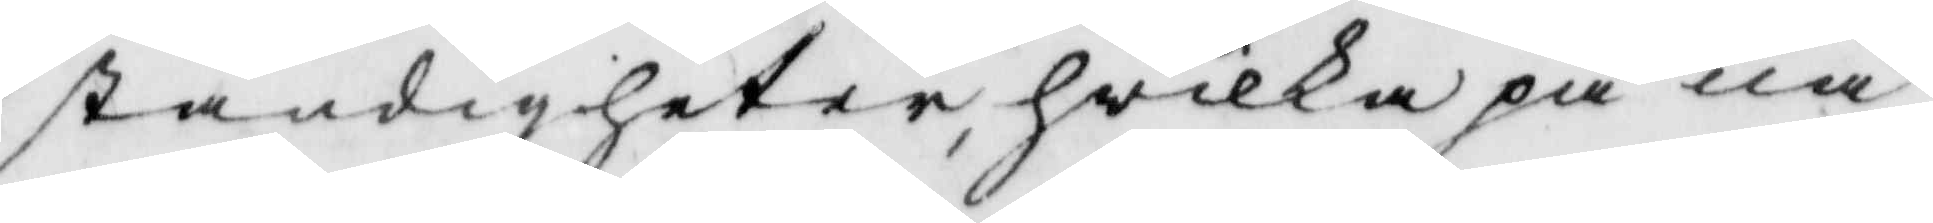ständigheter, hwilka på nå¬
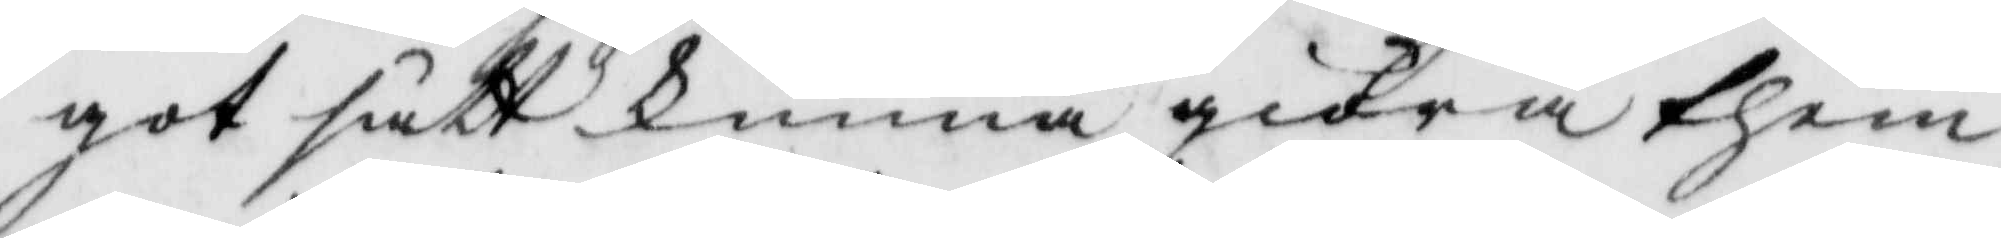got sätt kunna giöra them
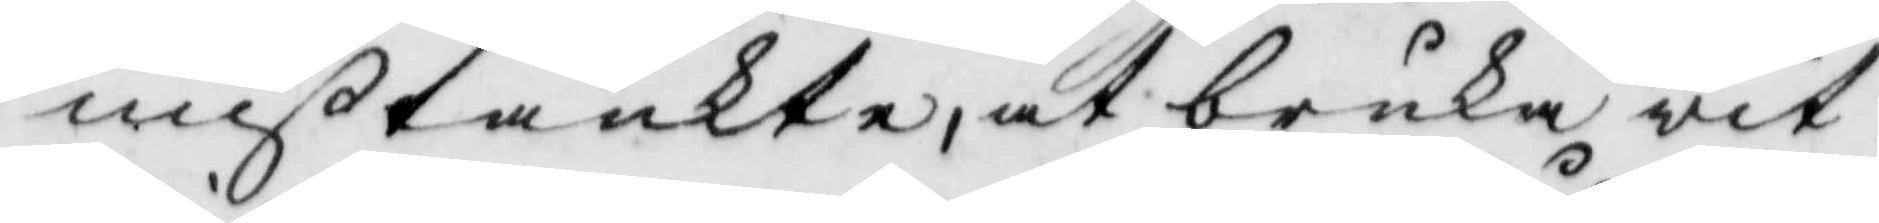mißtänkte, at bruka wit¬
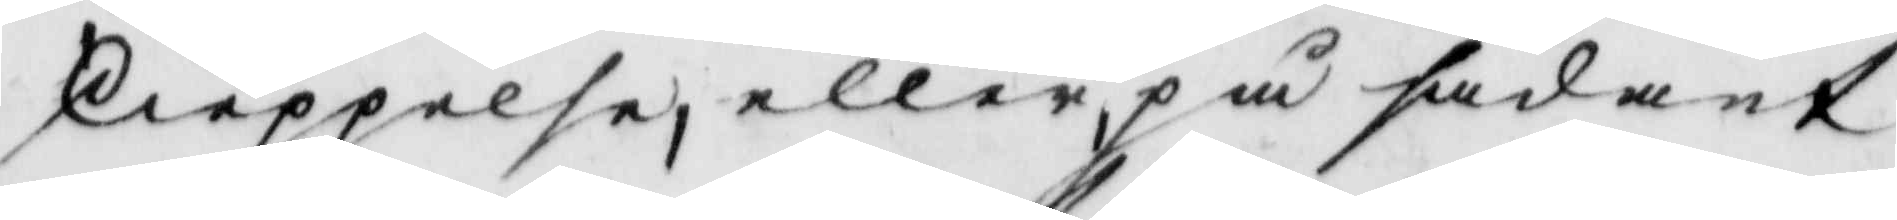skieppelse, eller, på sådant
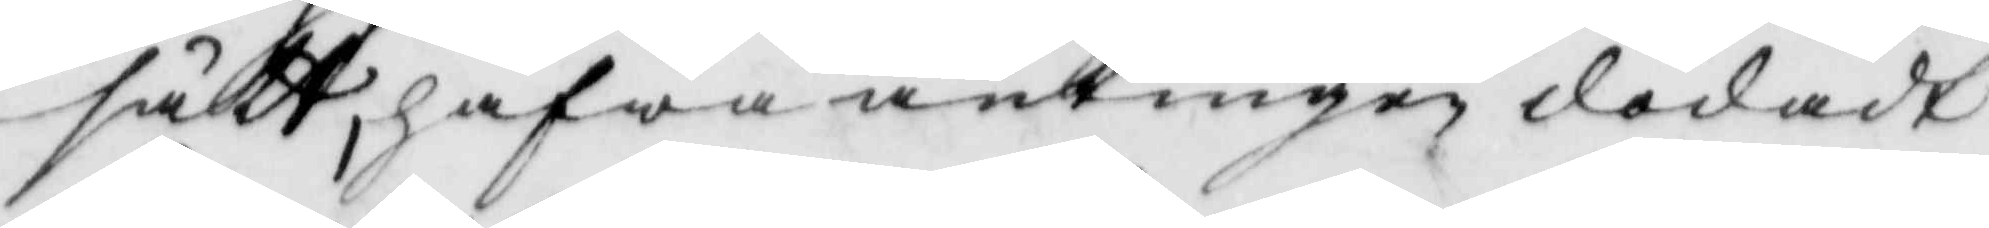sått, hafwa antingen dödadt
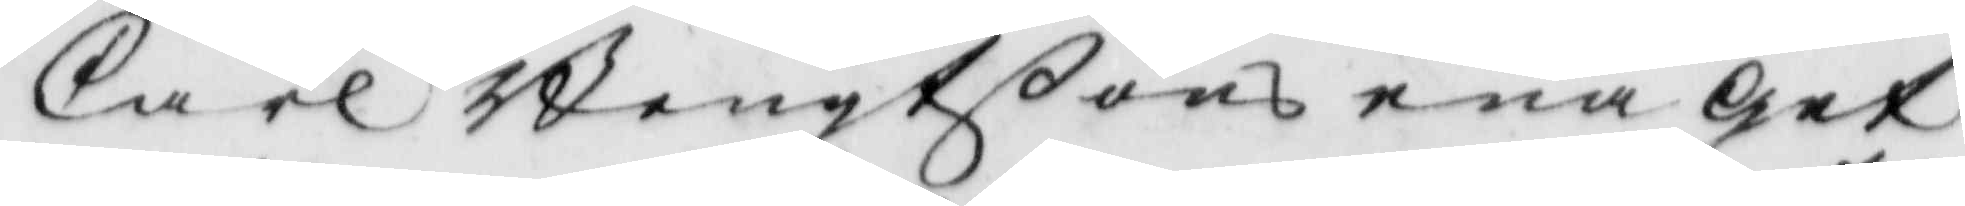Carl Bengtßons ena get
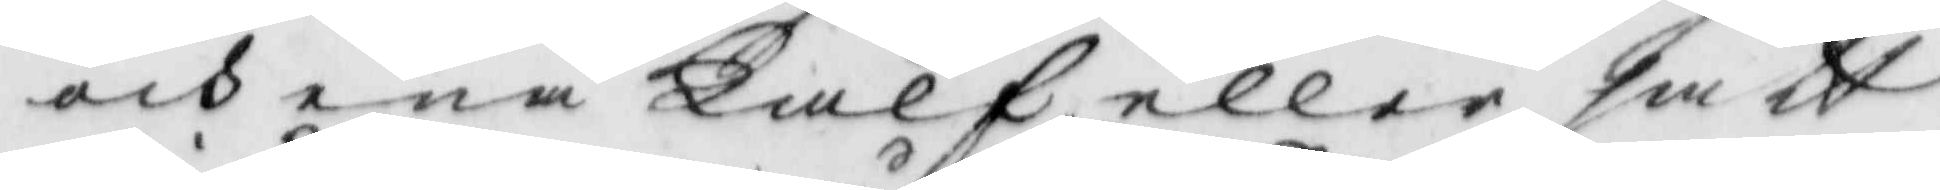och ena Kafl eller satt
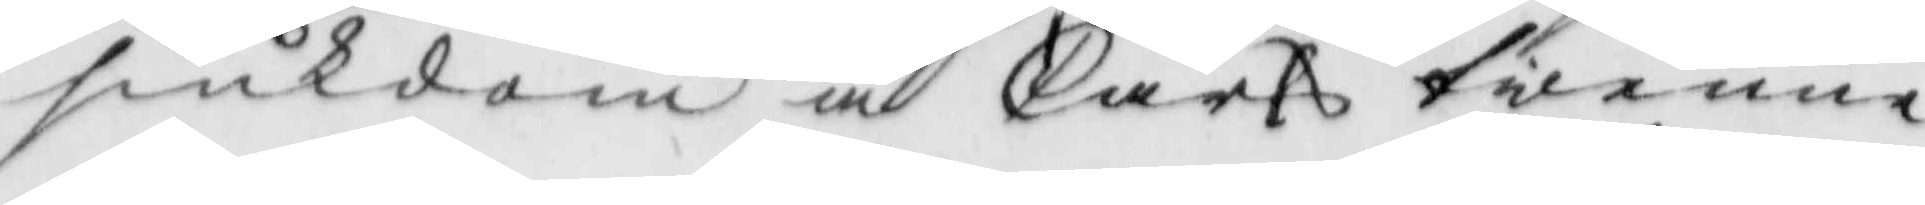siukdom å Carls twenne
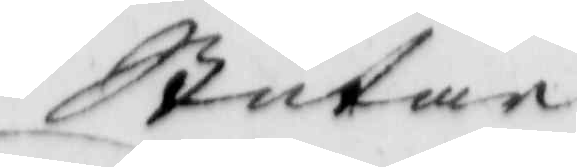Stutar.
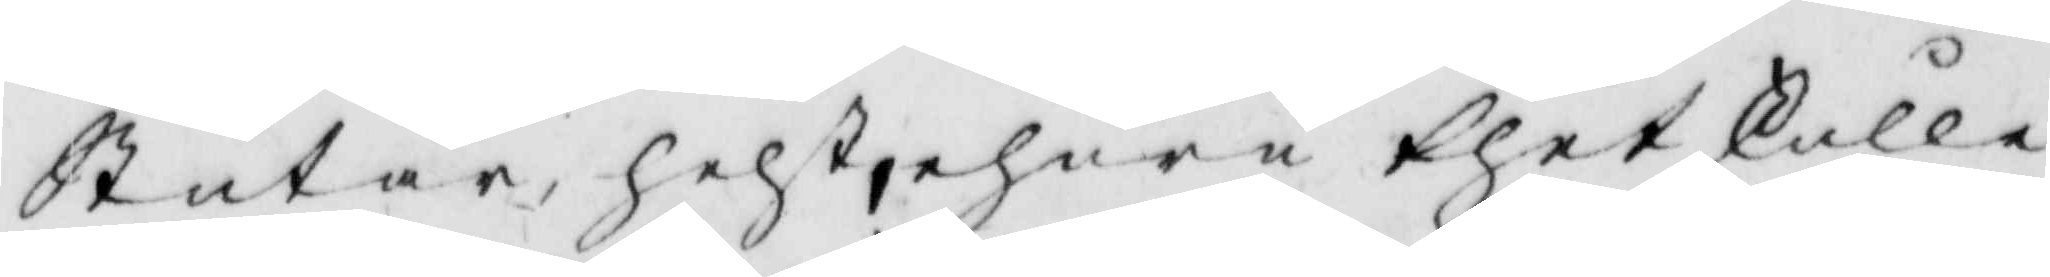Stutar, helst, ehuru thet Skulle
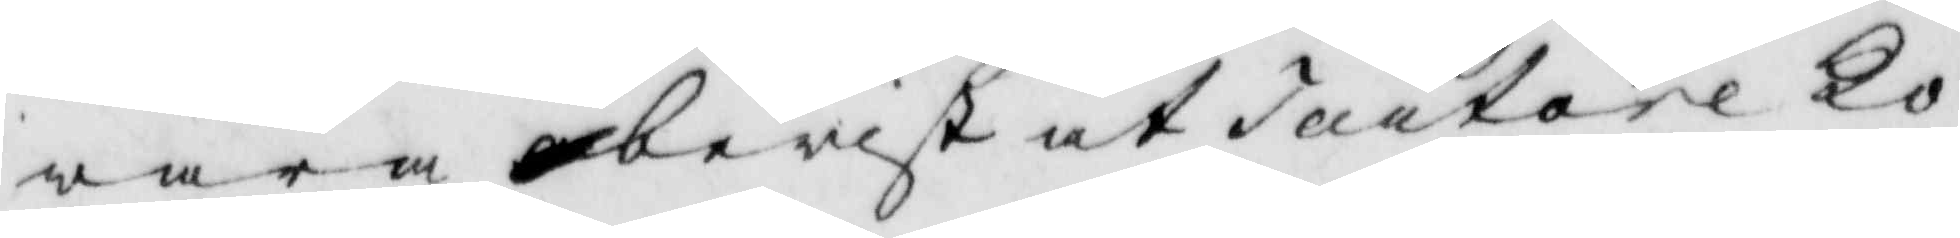wara bewist at Tartare Ko¬
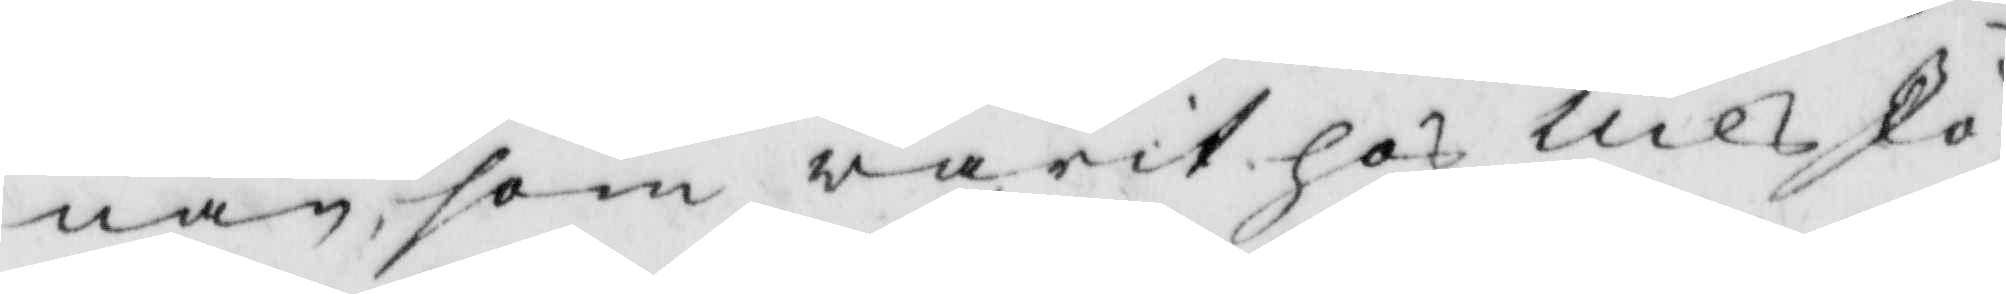nan, som warit hos Nils Jo¬
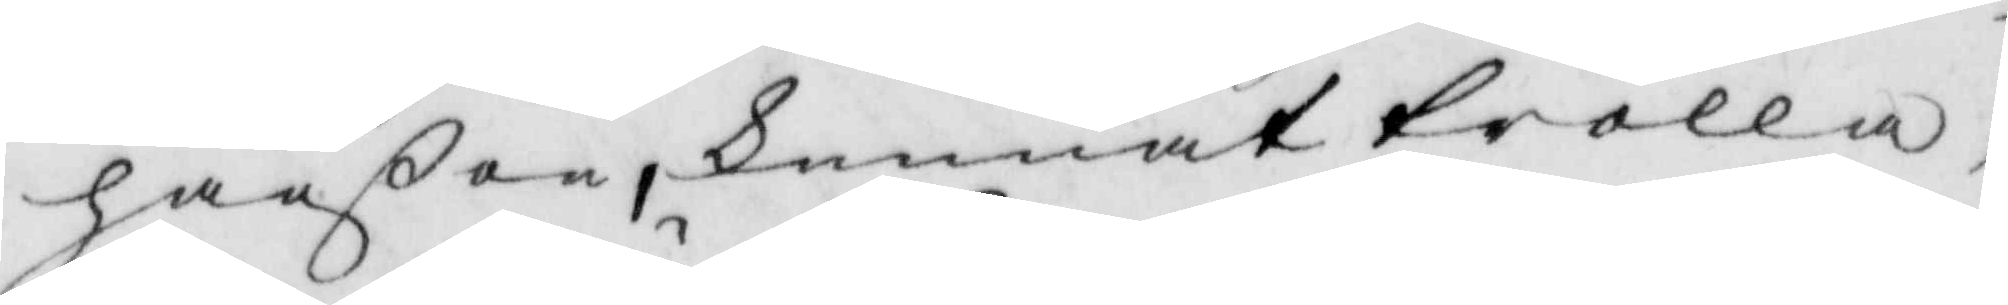hanßon, kunnat trolla,
